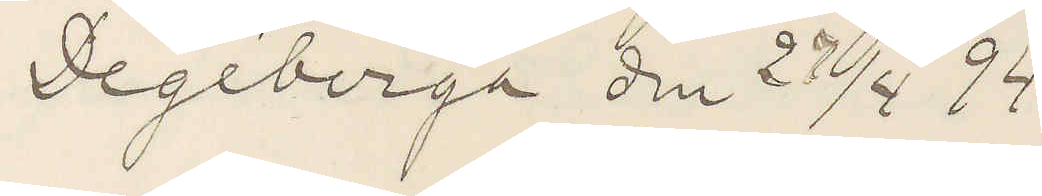Degeberga den 27/4 94
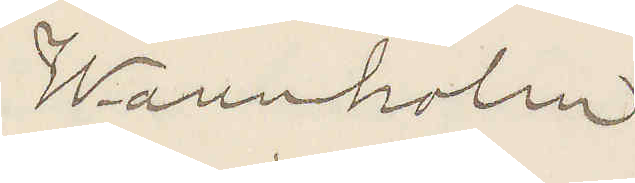Wannholm
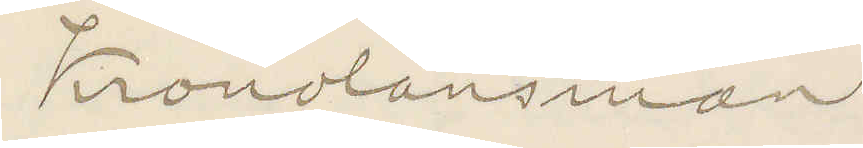Kronolänsman.
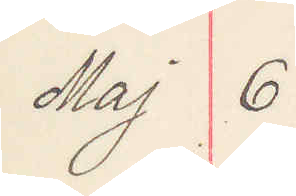Maj 6
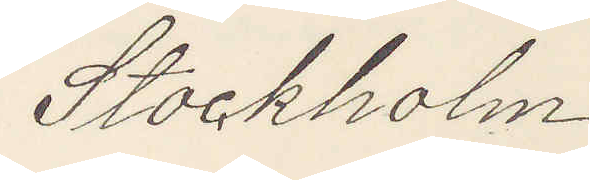Stockholm
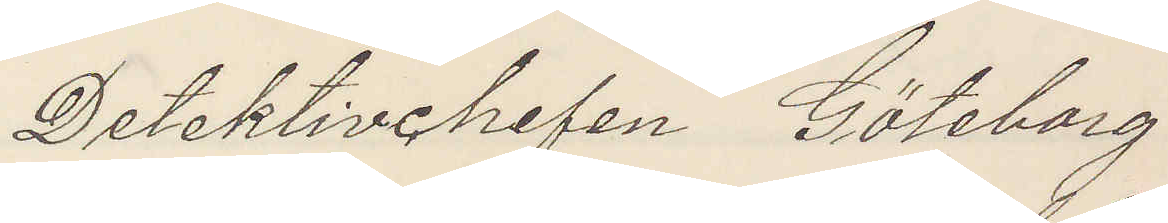Detektivchefen Göteborg
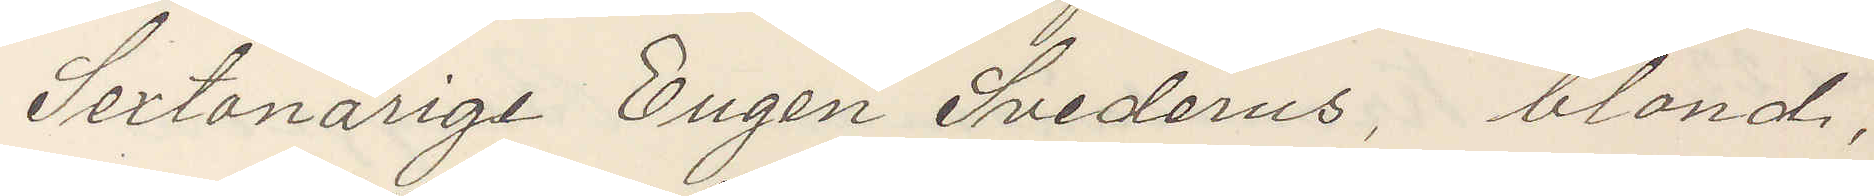Sextonårige Eugen Svederus, blond,
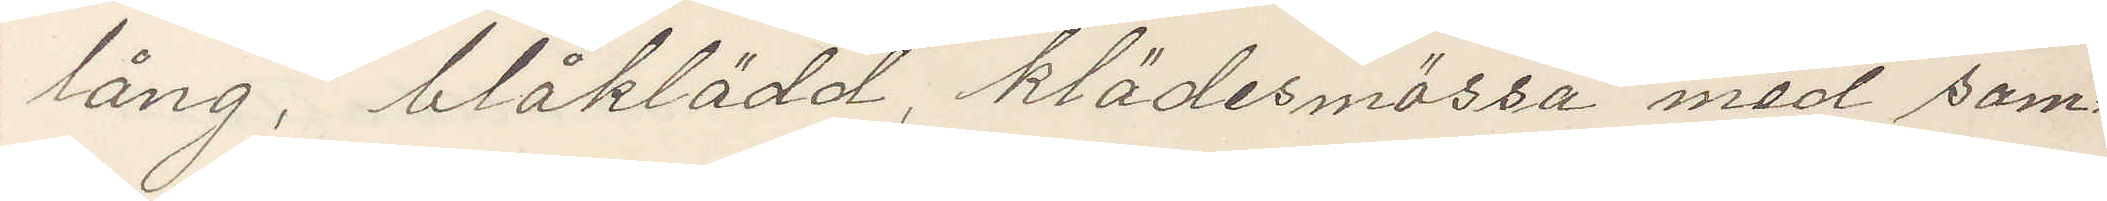lång, blåklädd, klädesmössa med sam¬
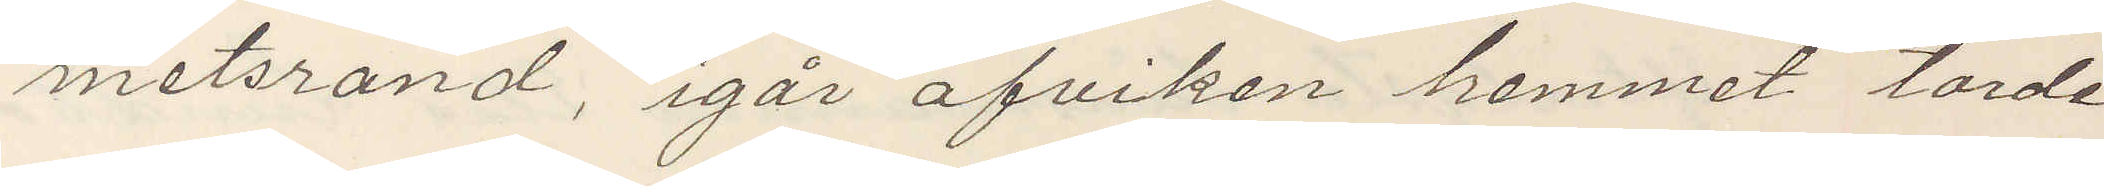metsrand, igår afvikit hemmet torde
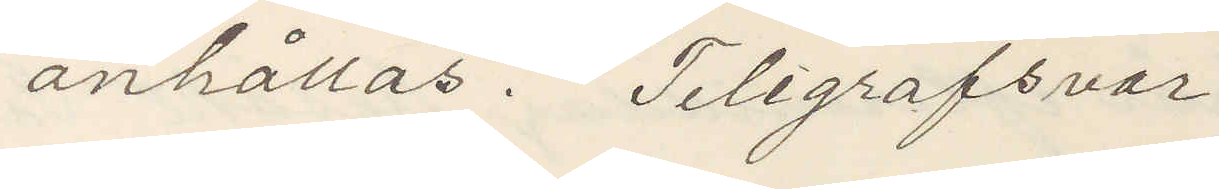anhållas. Telegrafsvar.
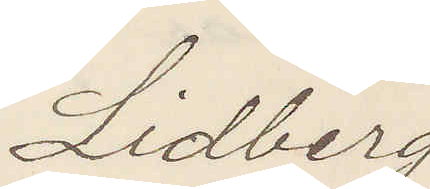Lidberg.
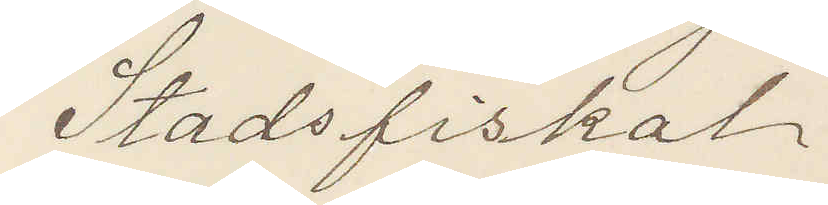Stadsfiskal
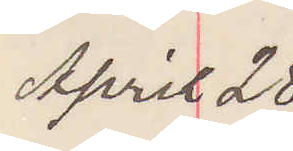April 28
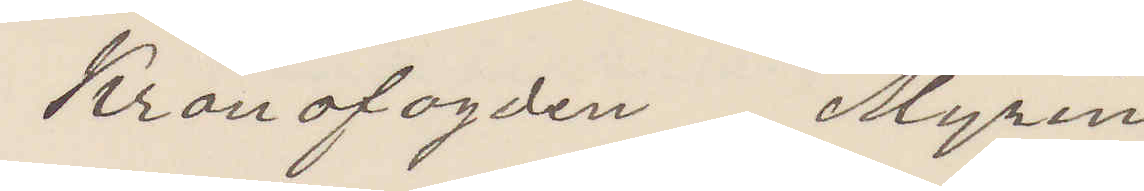Kronofogden Myrin
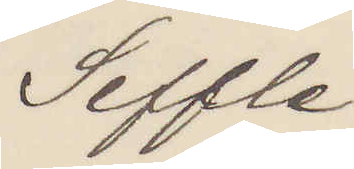Seffle.
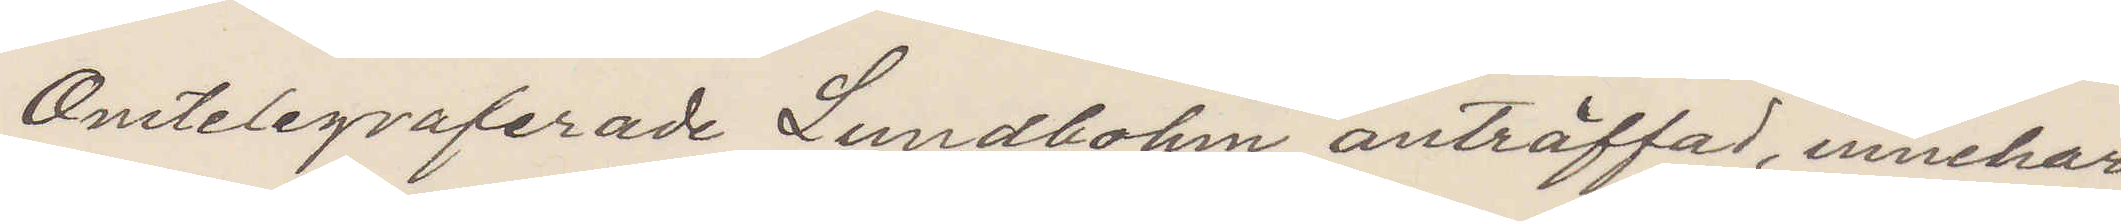Omtelegraferade Lundbohm anträffad, innehar
